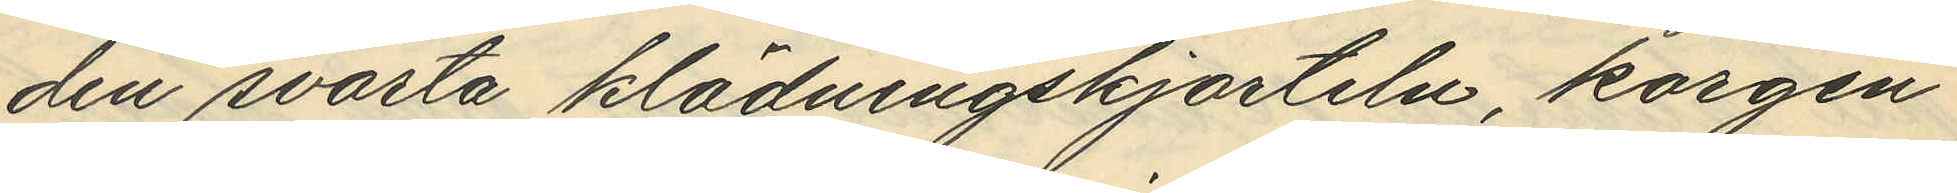den svarta klädningskjorteln, korgen
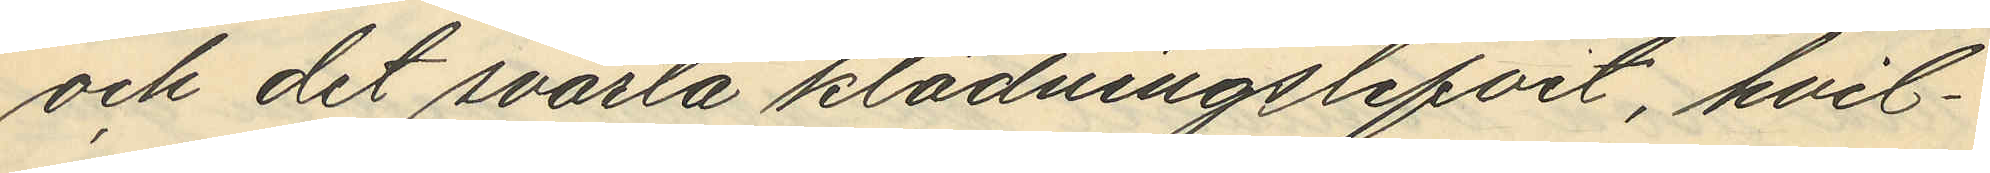och det svarta klädningslifvit, hvil¬
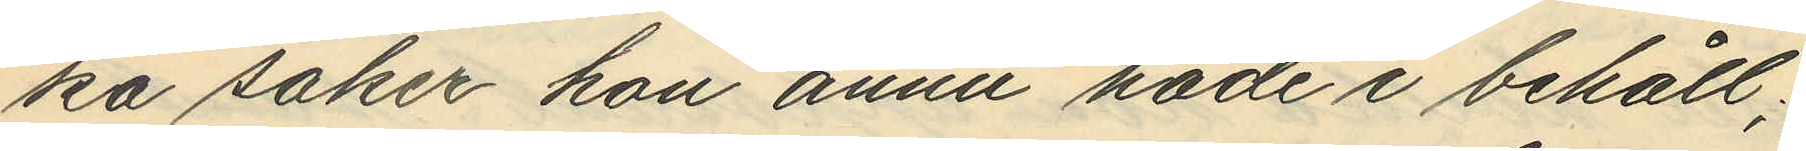ka saker hon ännu hade i behåll;
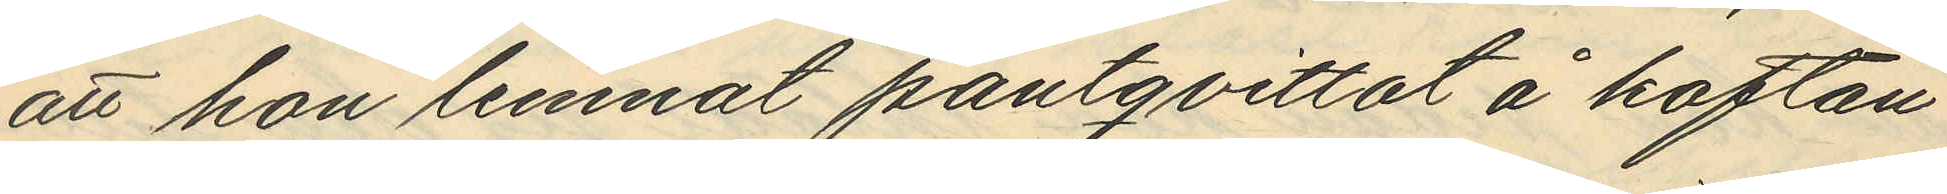att hon lemnat pantqvittot å koftan
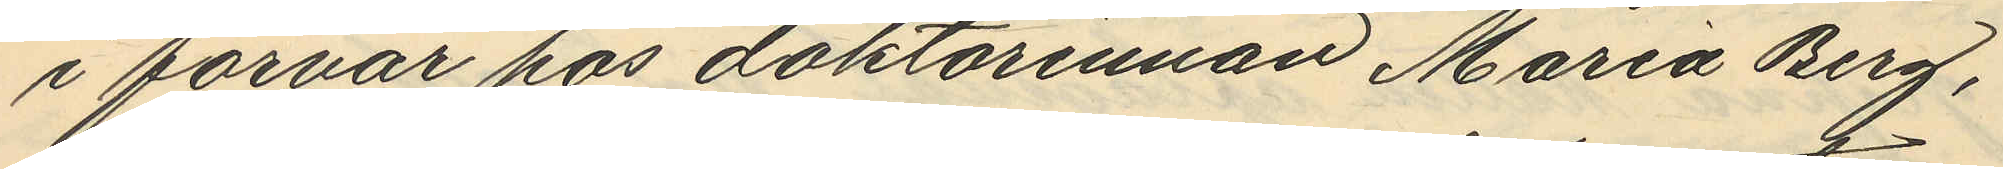i förvar hos doktorinnan Maria Berg,
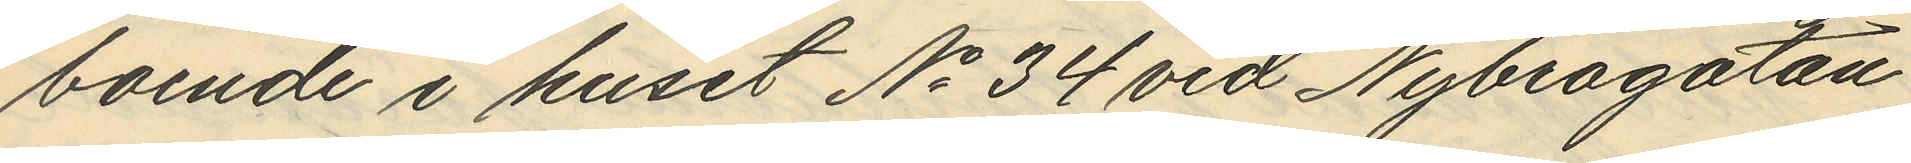boende i huset No 34 vid Nybrogatan
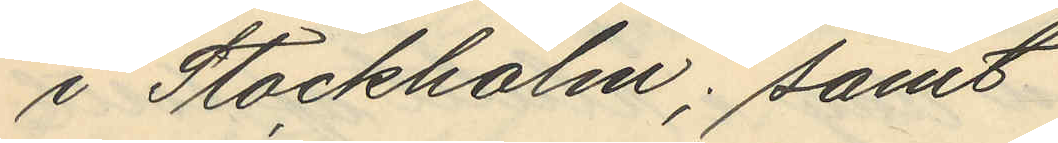i Stockholm; samt
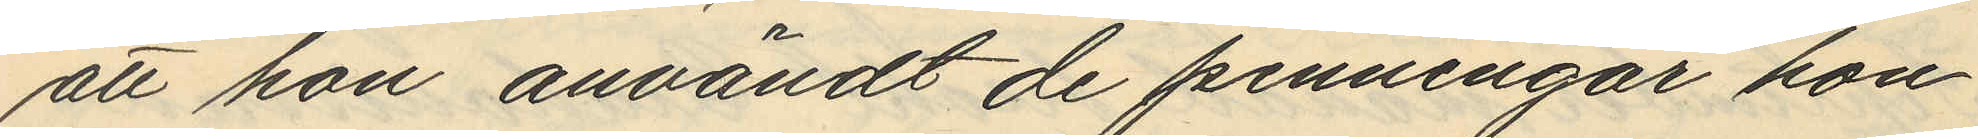att hon användt de penningar hon
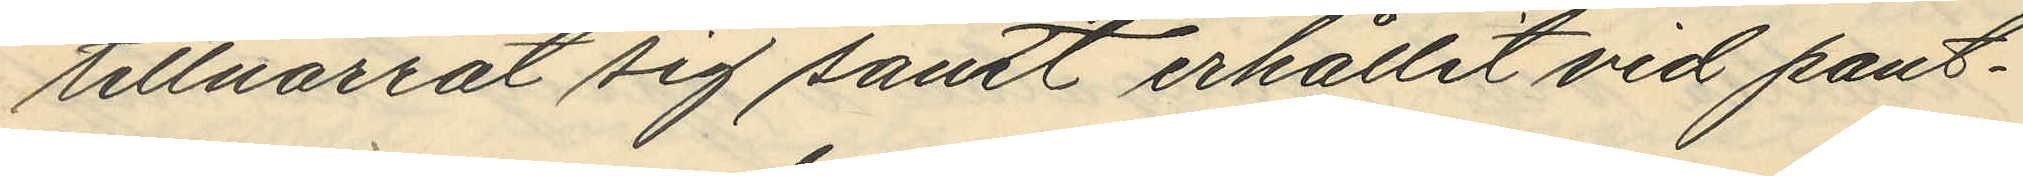tillnarrat sig samt erhållit vid pant¬
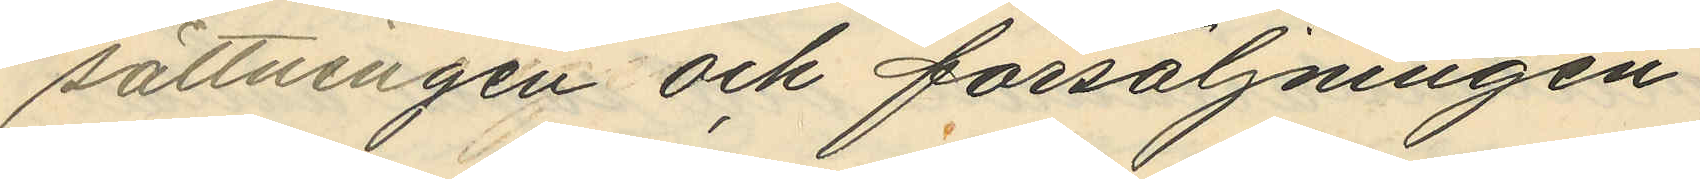sättningen och försäljningen.
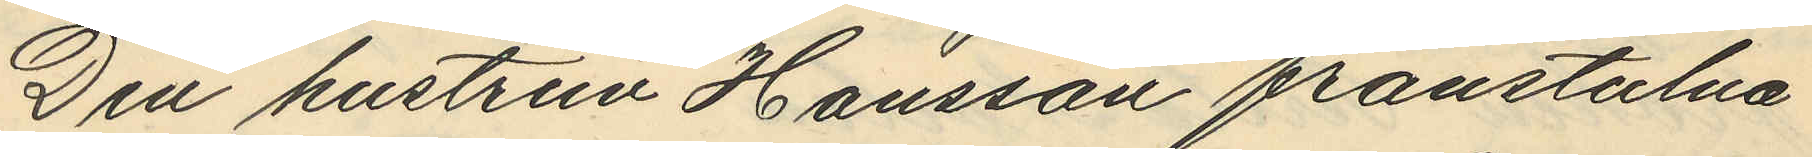Den hustrun Hansson frånstulna
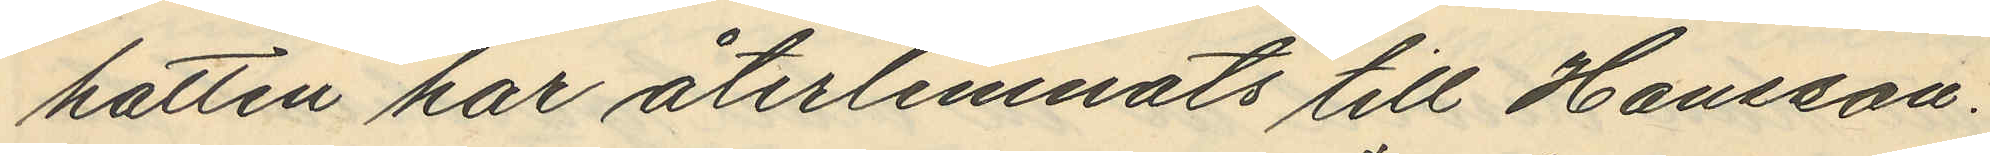hatten har återlemnats till Hansson.
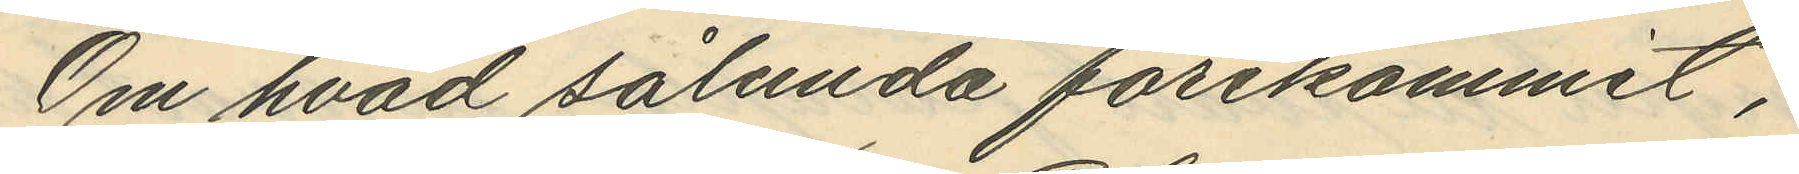Om hvad sålunda förekommit,
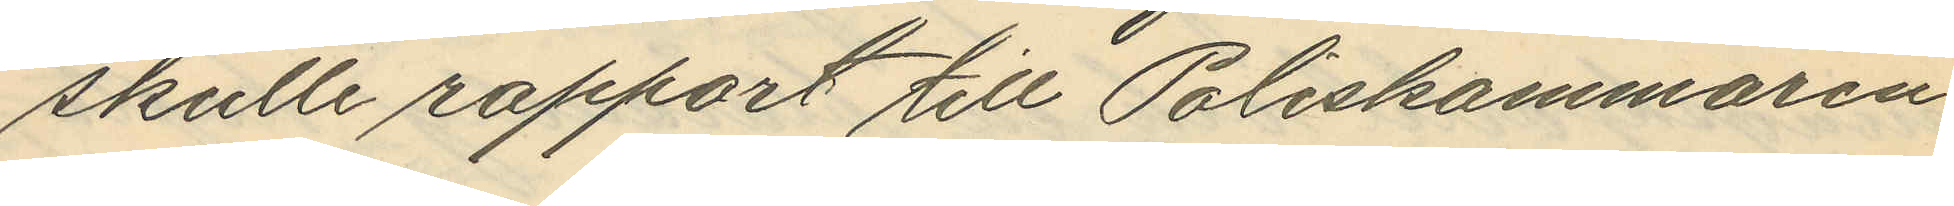skulle rapport till Poliskammaren
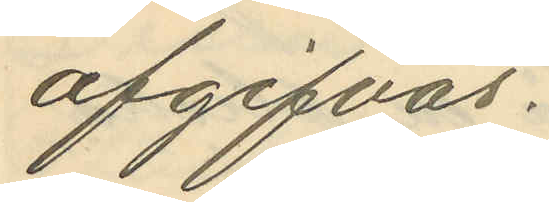afgifvas.
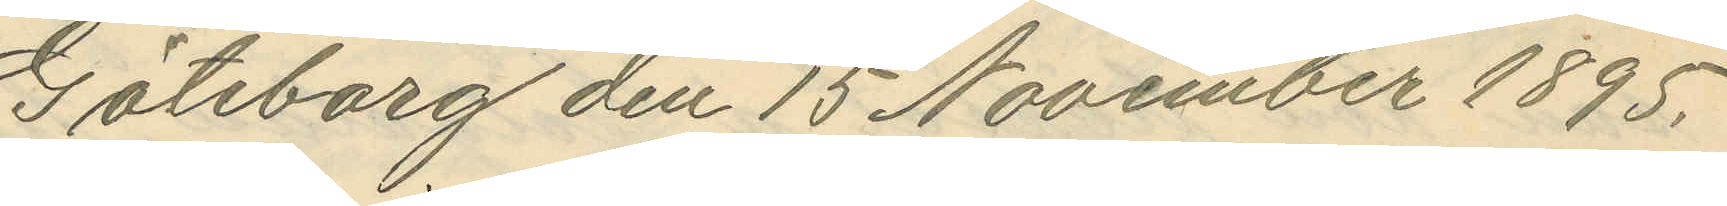Göteborg den 15 November 1895.
